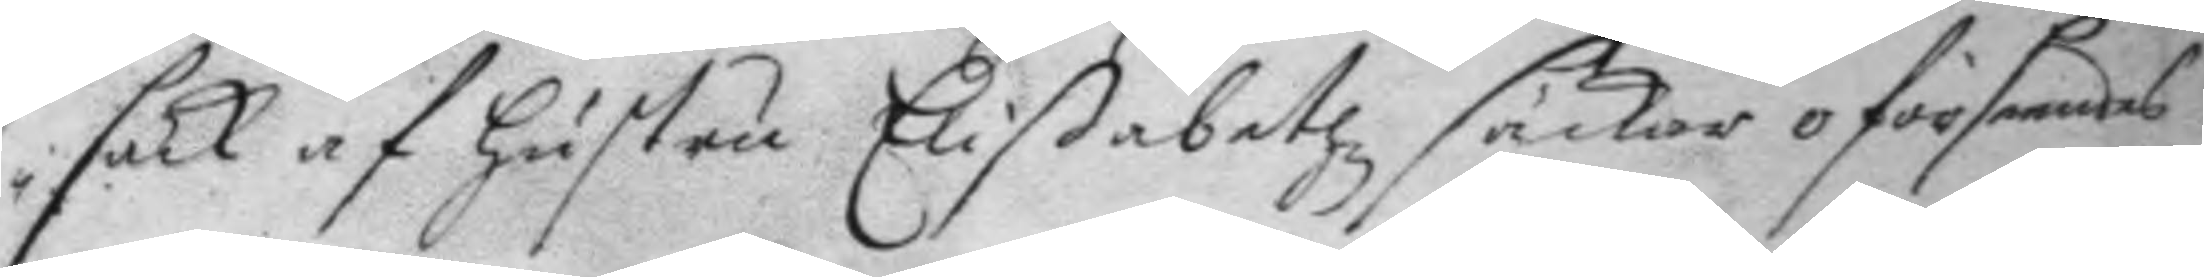säck af hustru Elißabethz säckar oförseendes
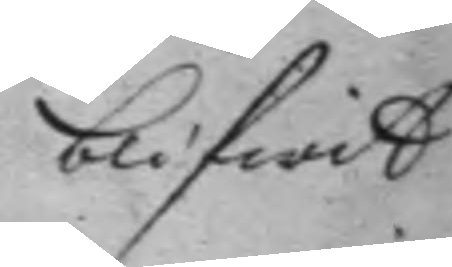blifwit
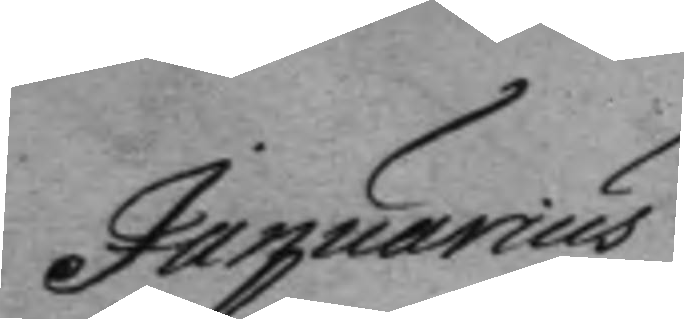Januarius
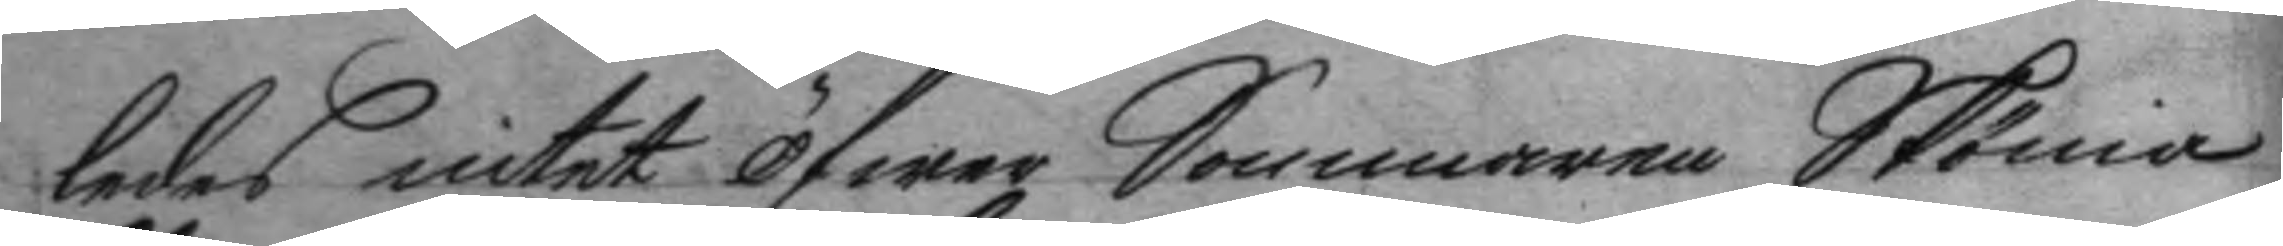ledes intet öfwer Sommaren Skönia
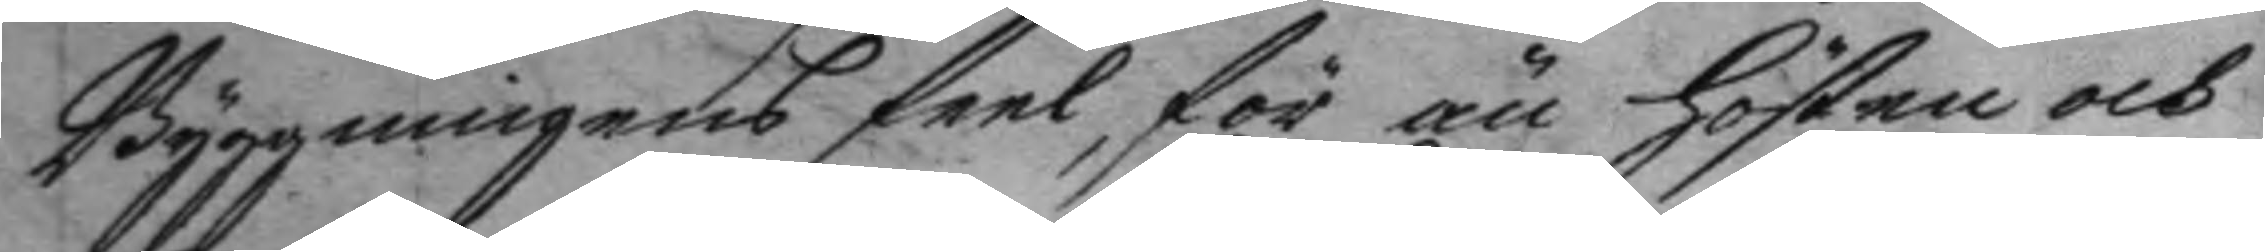Byggningens feel, för än hösten och
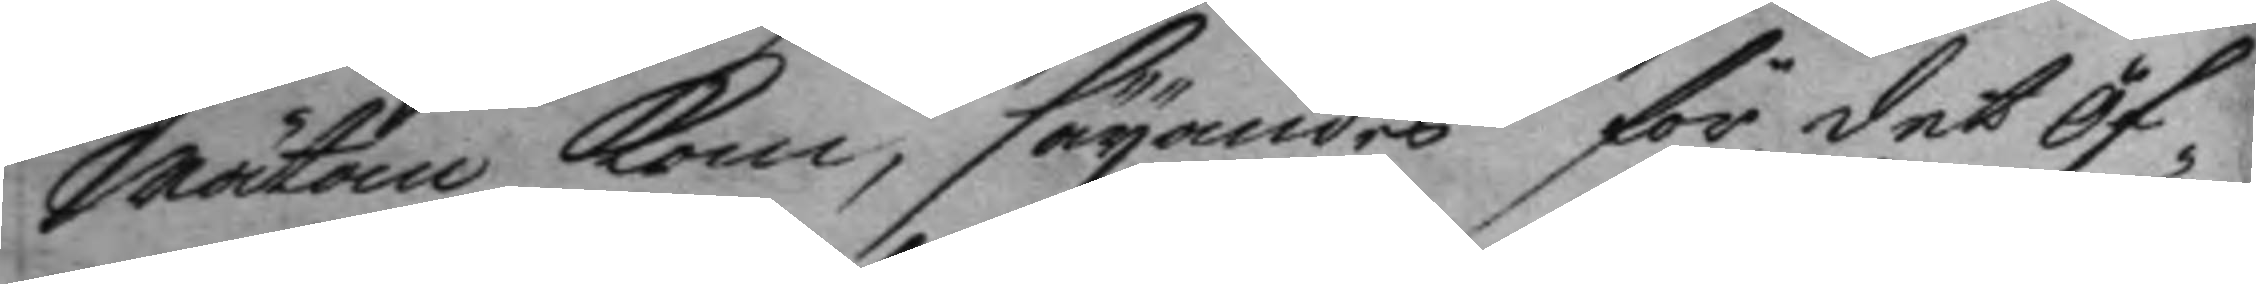wätan kom, säyandes för det öf¬
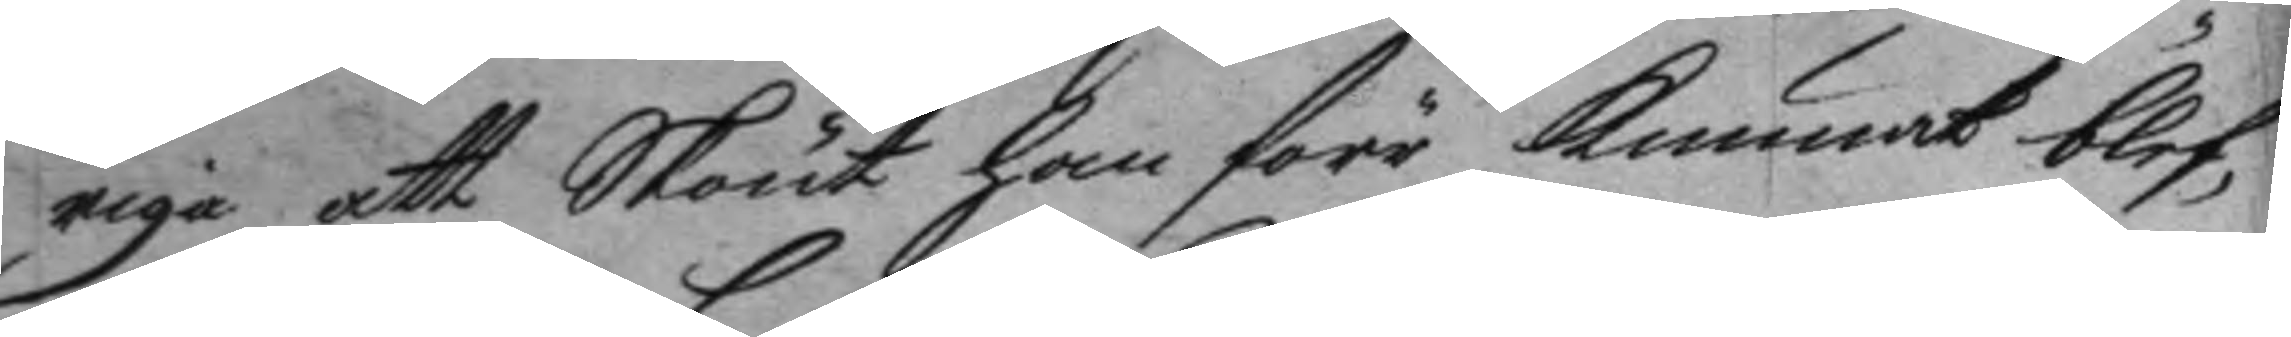riga att Skönt han förr kunnat blef¬
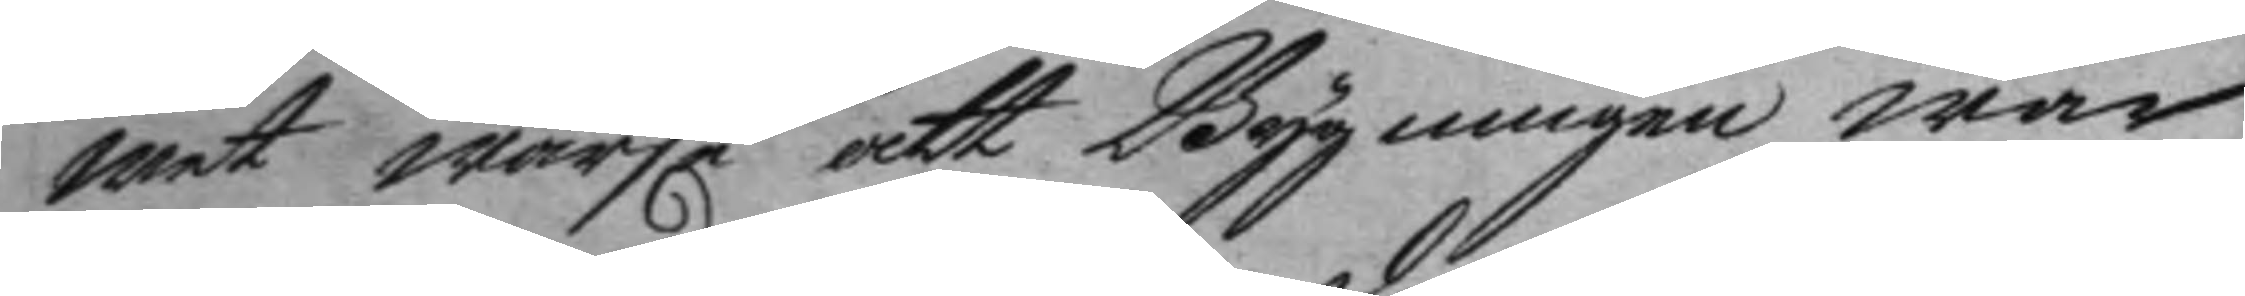wet warse att Byggningen war
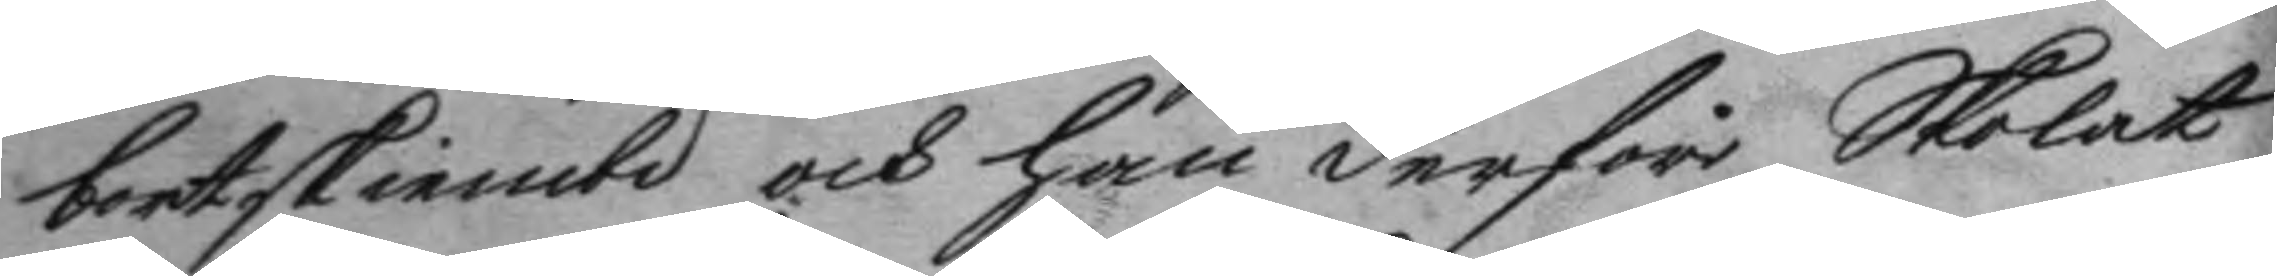bortskiemtd och han derföre Skolat
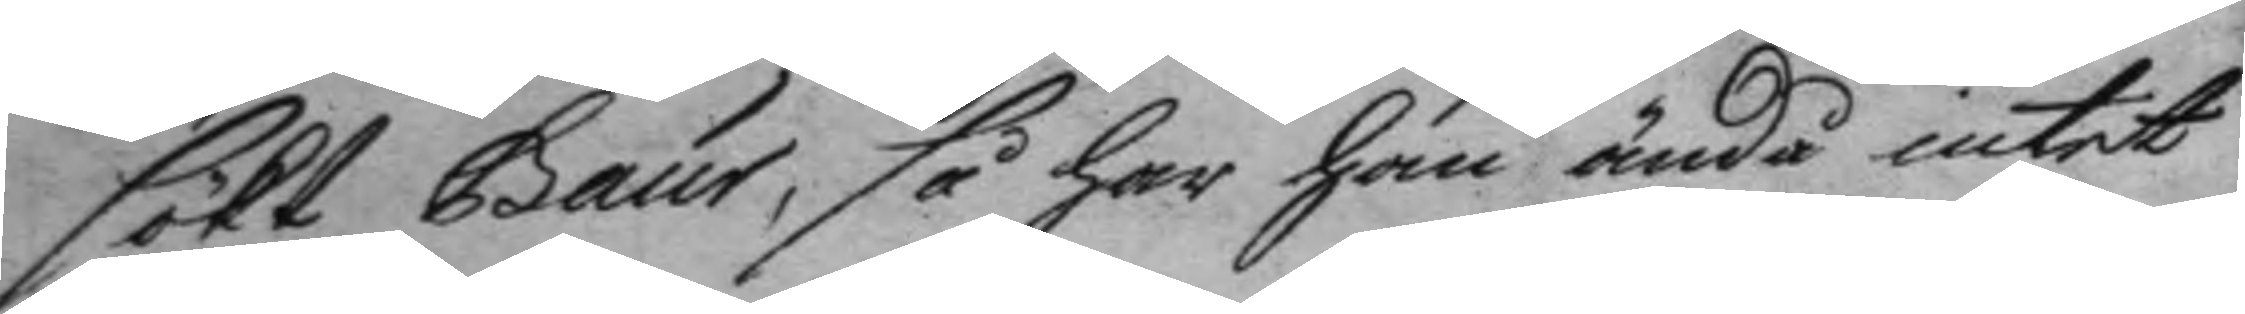sökt Gaur, så har han ändå intet
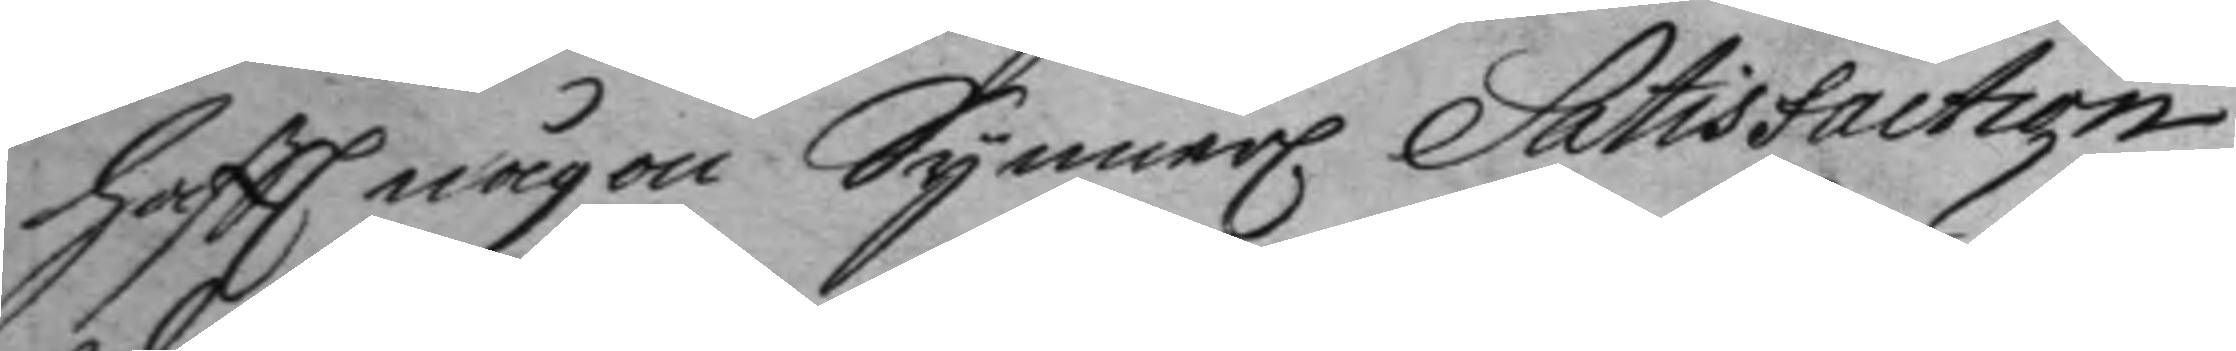haftt någon Synner Satisfaction
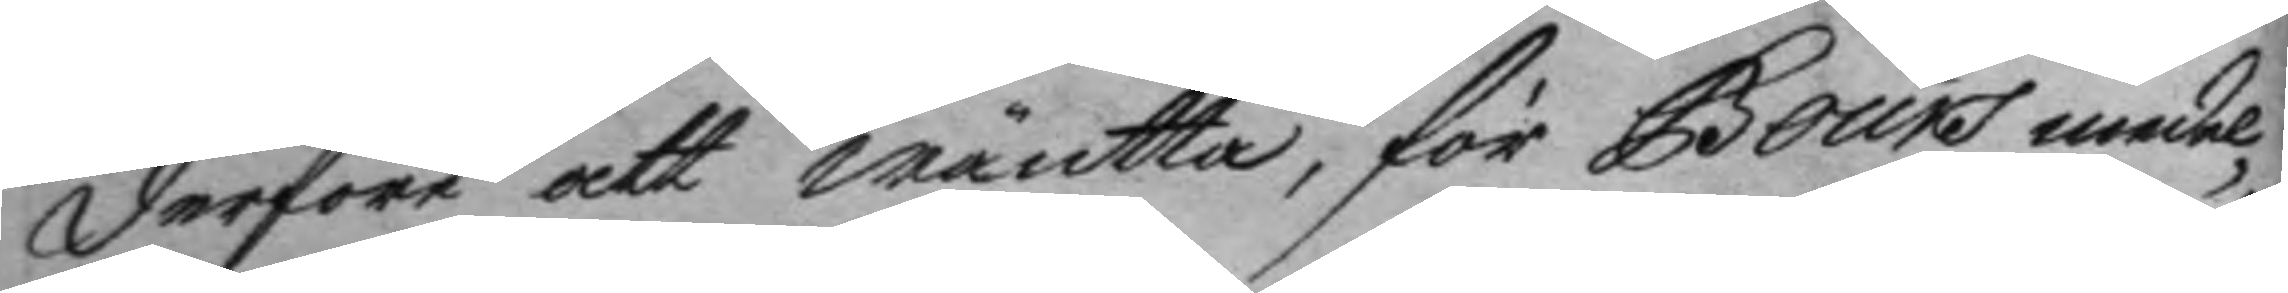derföre att wäntta, för Gaurs medel¬
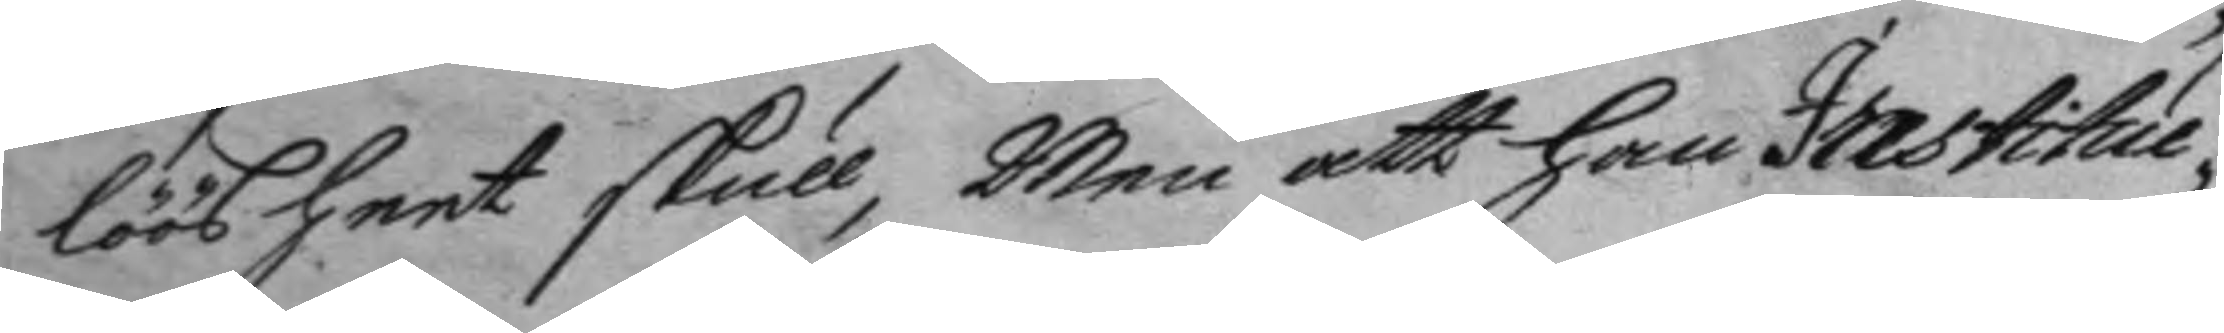löösheet skull, men att han Institue¬
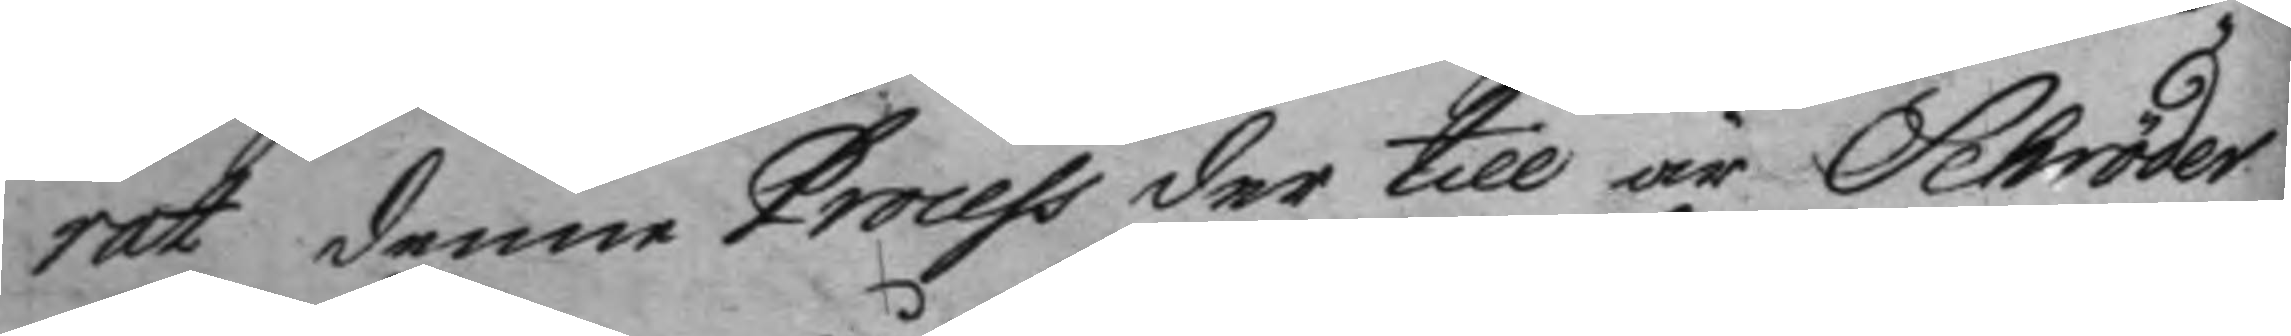rat denne Process der till är Schröder
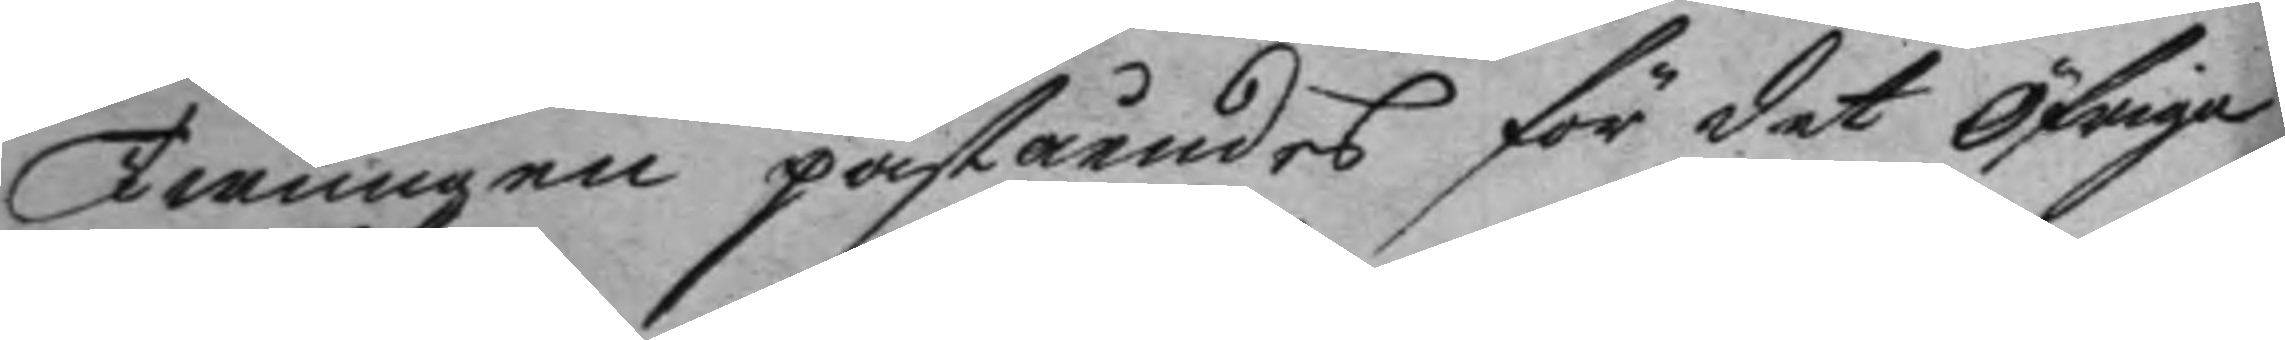twungen påståendes för det öfrige
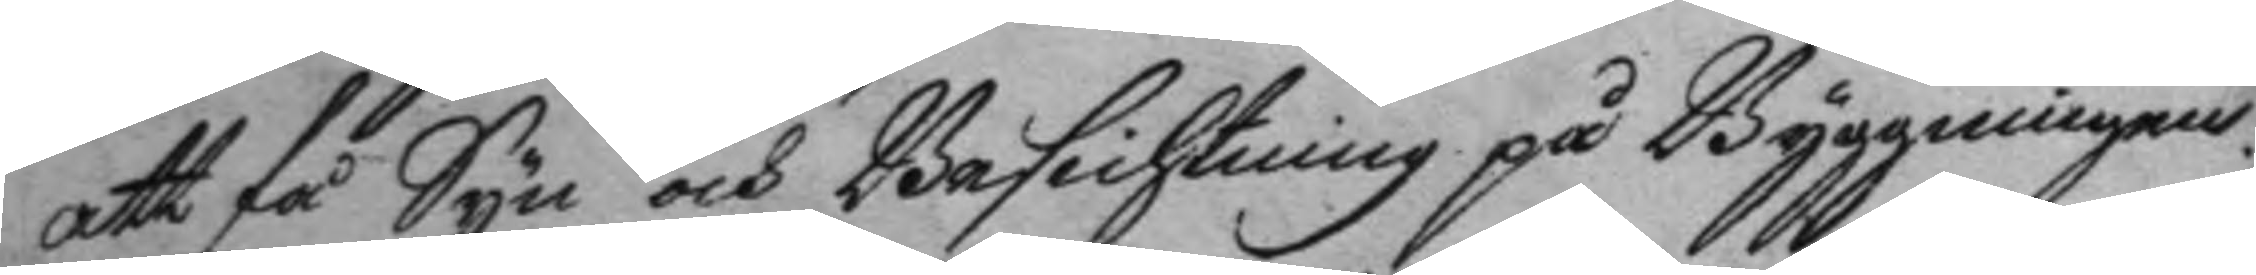att få Syn och Besichtning på Byggningen.
